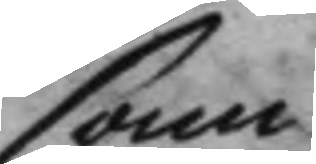sam
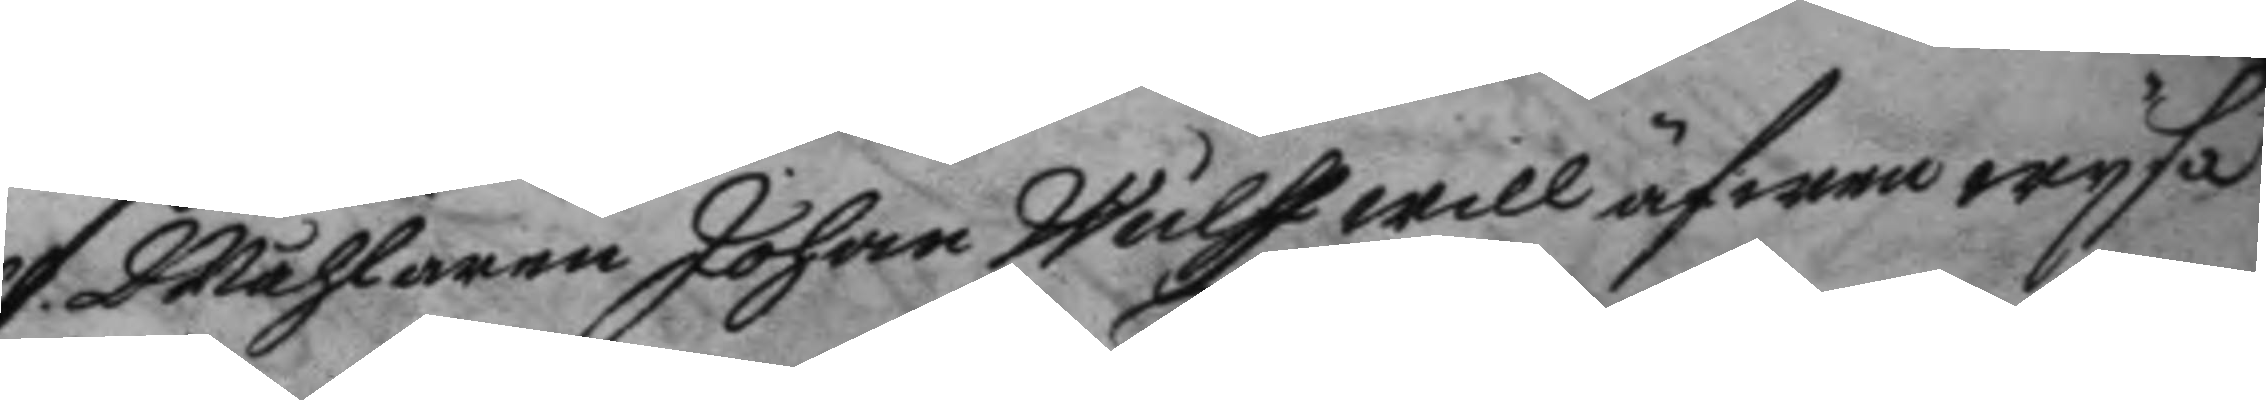Målaren Johan Wulff will äfwen wysa
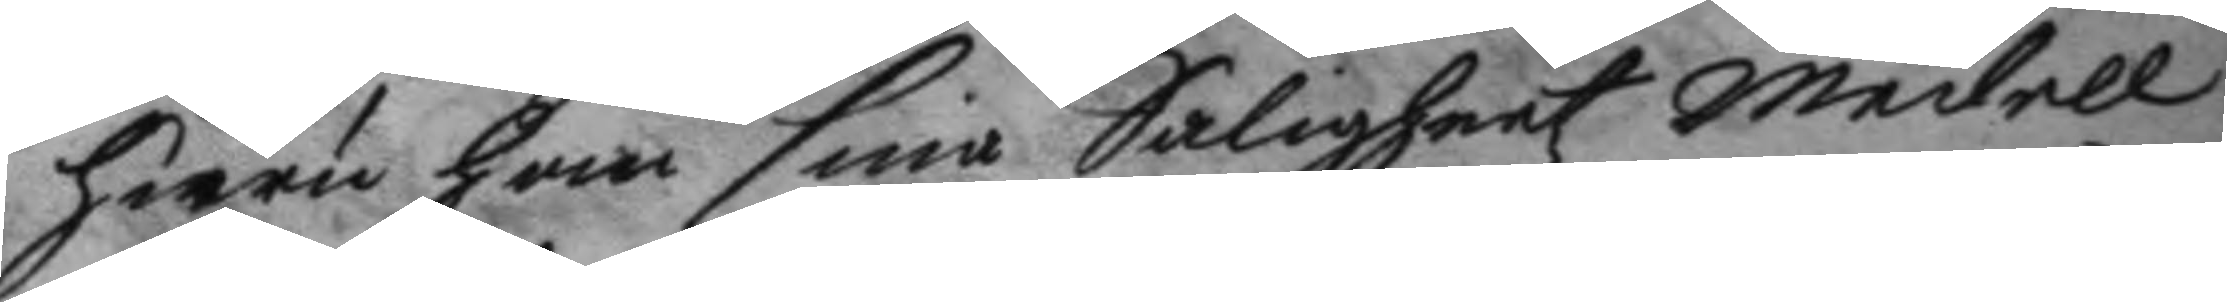huru han sina Saligheetz Medell
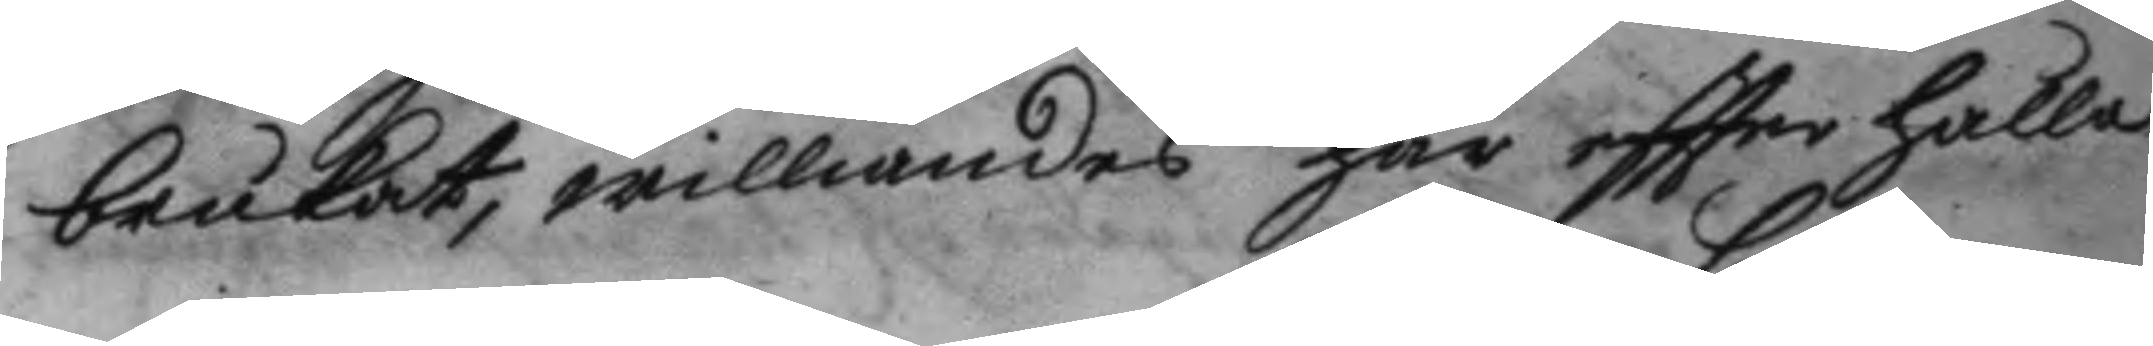brukat, williandes här eftter hålla
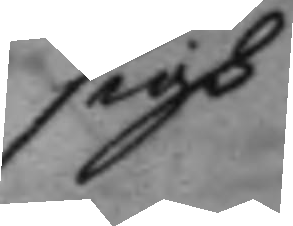sigh
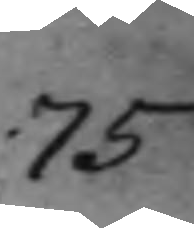75
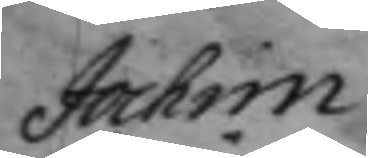Jochim
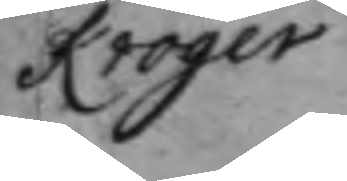Kröger
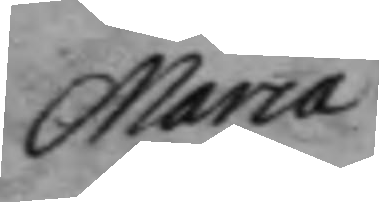Maria
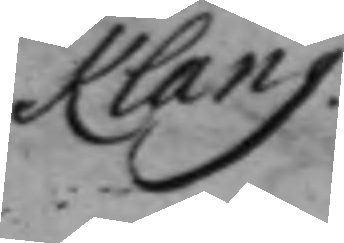Klang
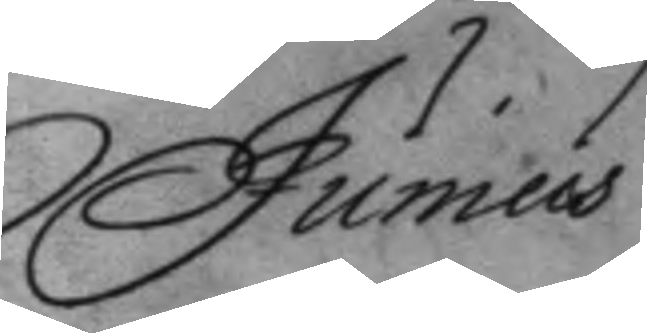Junius
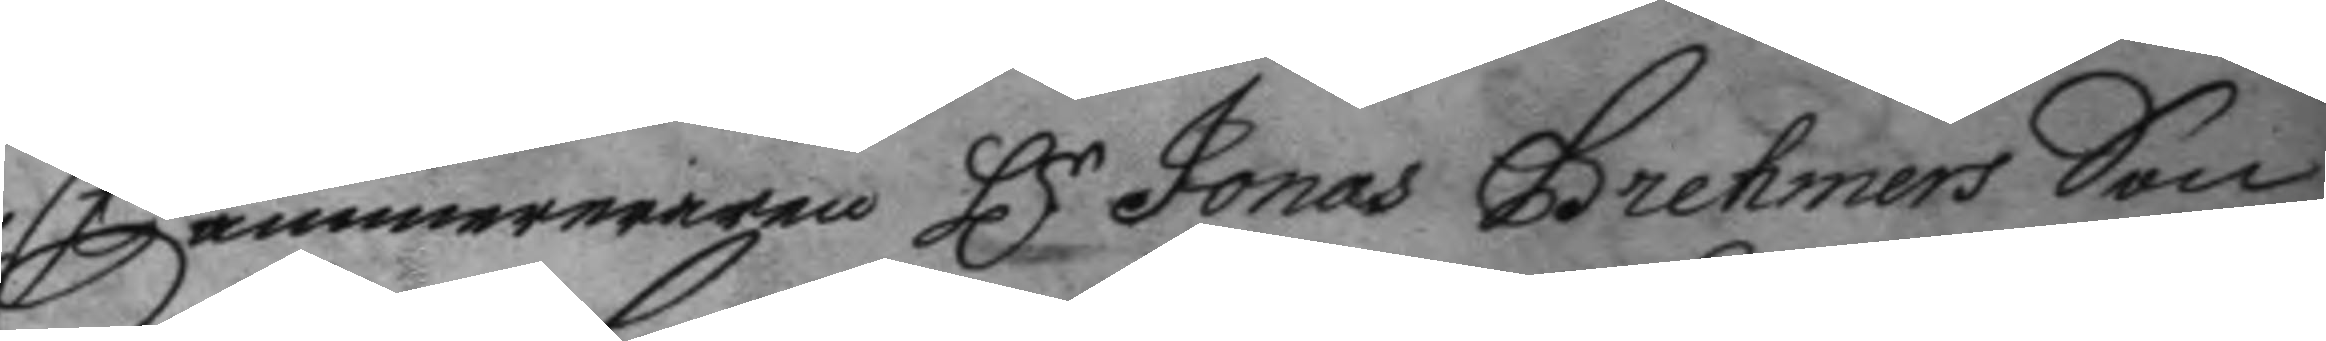Cammereraren Hr Jonas Brehmers Son
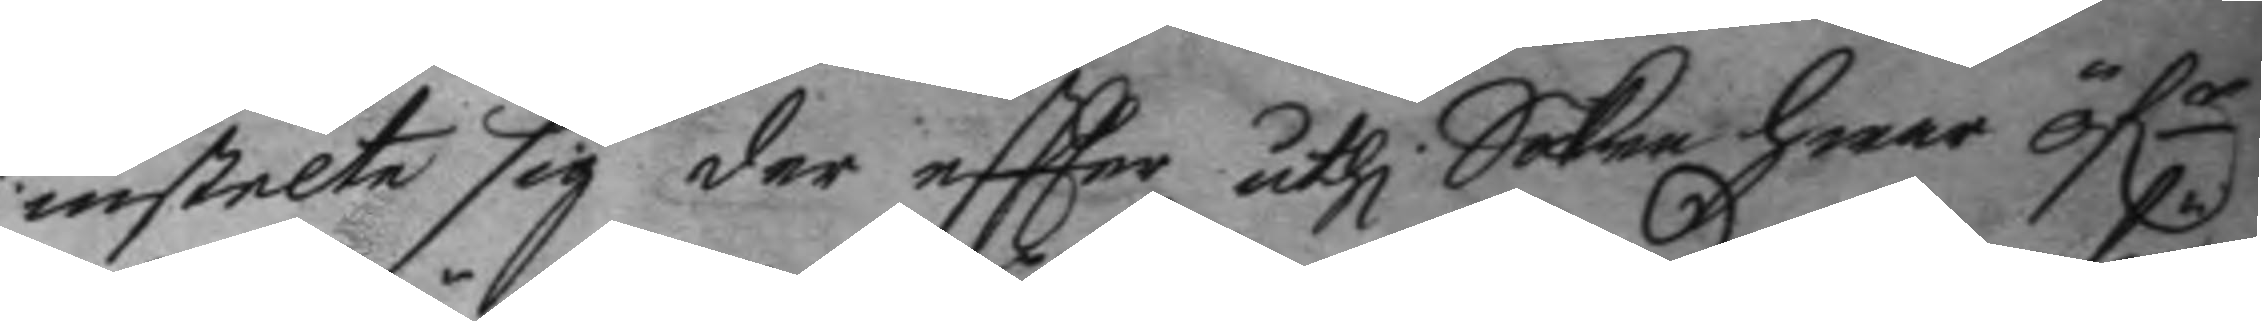instelte sig der eftter uthi Saken hwar öf.r
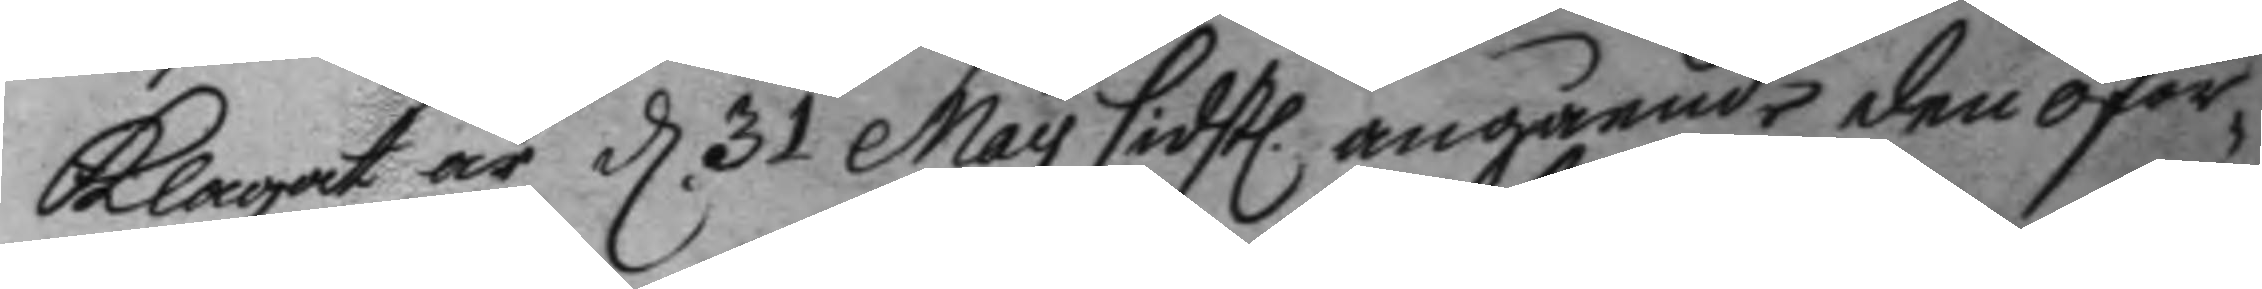klagat är d 31 May sidstl. angående den oför¬
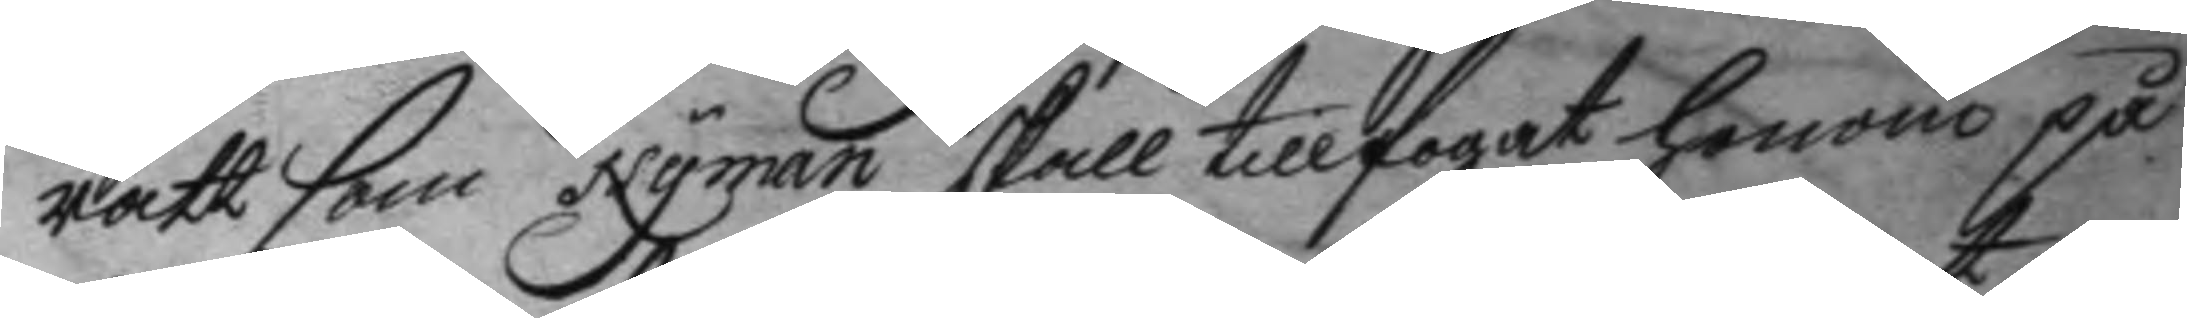rätt som Nyman skall tillfogat honom på
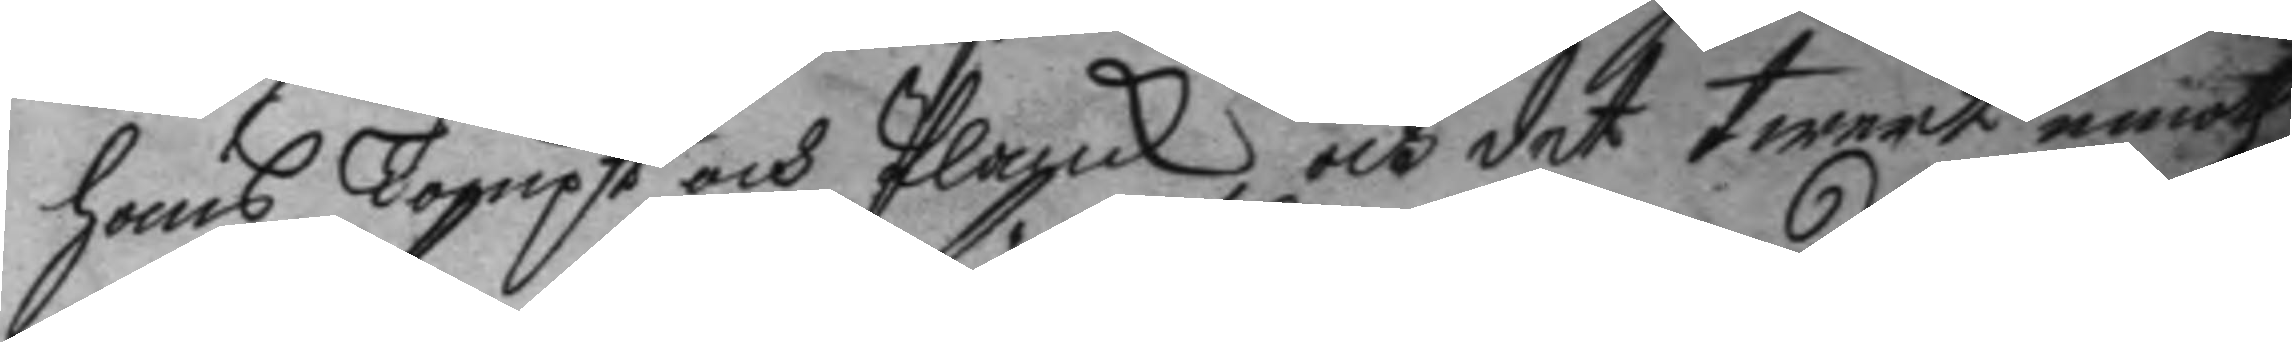hans Tompt och Planck, och det twert emoth
